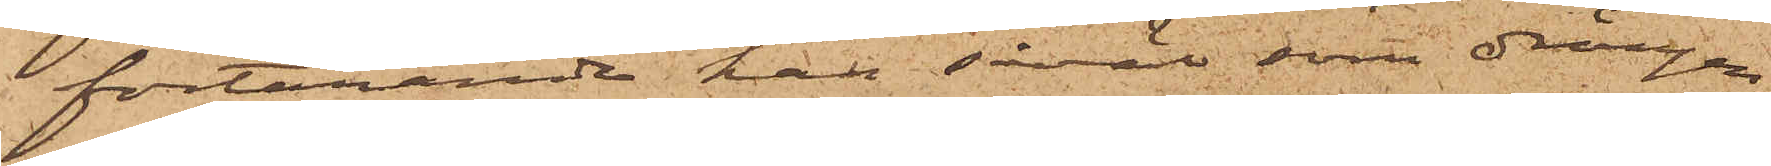förtärande han såväl som drängen
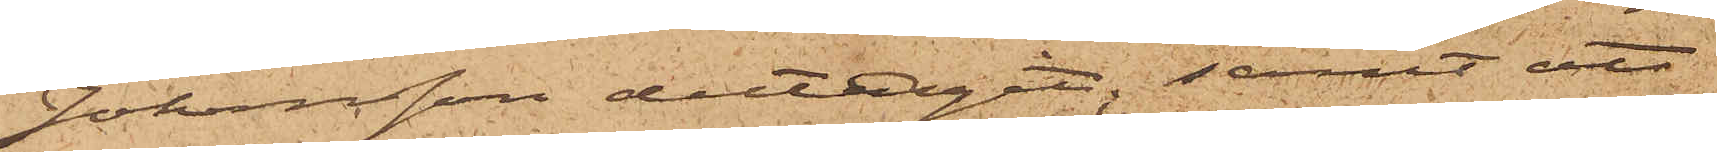Johansson deltagit; samt att
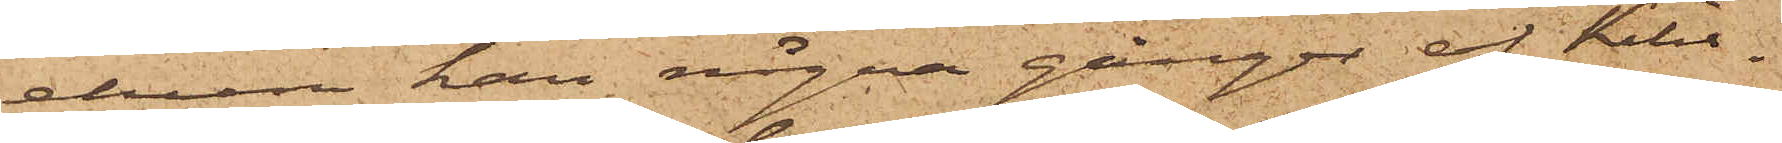ehuru han några gånger af Kihl¬
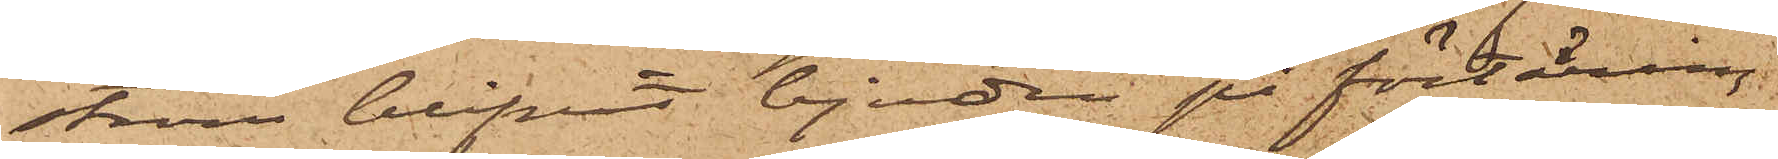ström blifvit bjuden på förtäring
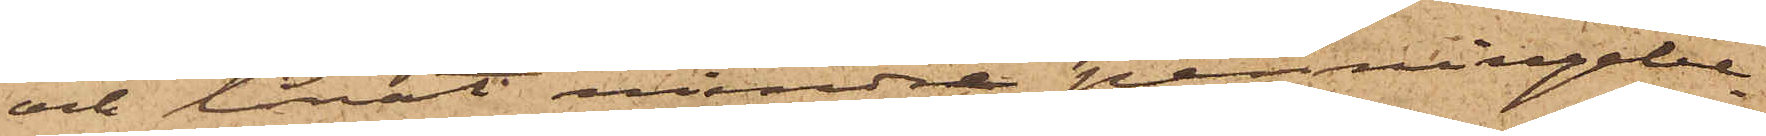och lånat mindre penningebe¬
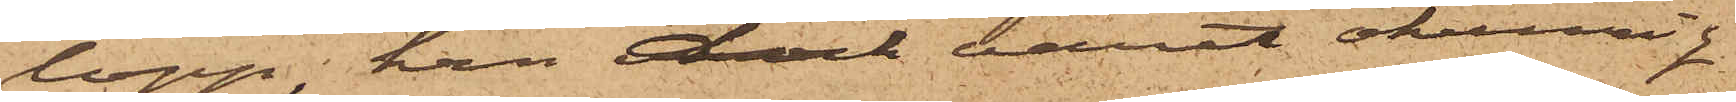lopp, han dock varit okunnig
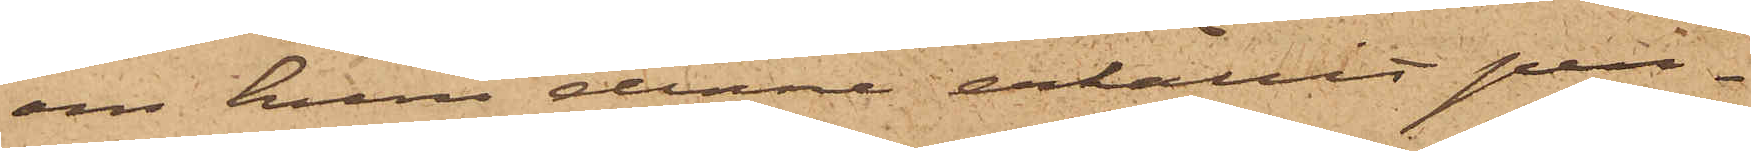om huru denne erhållit pen¬
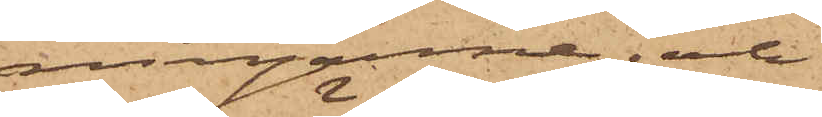ningarne; och
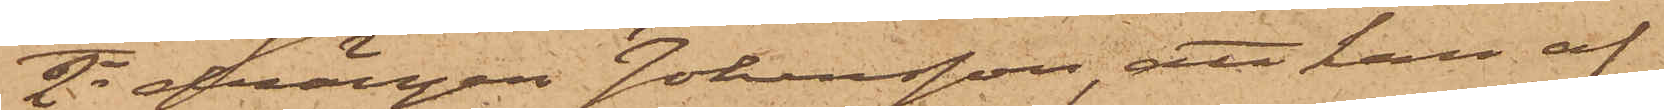2o drängen Johansson, att han af
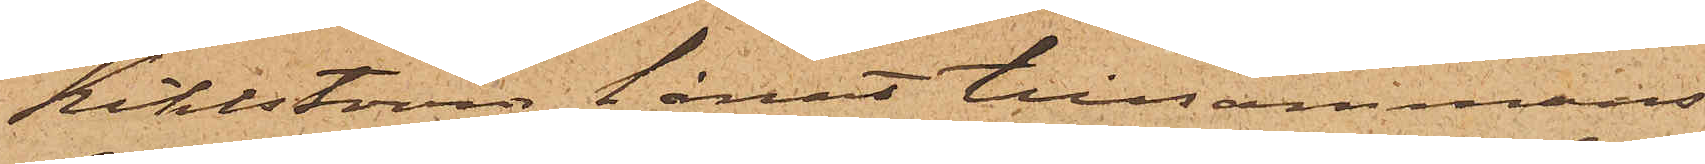Kihlström lånat tillsammans
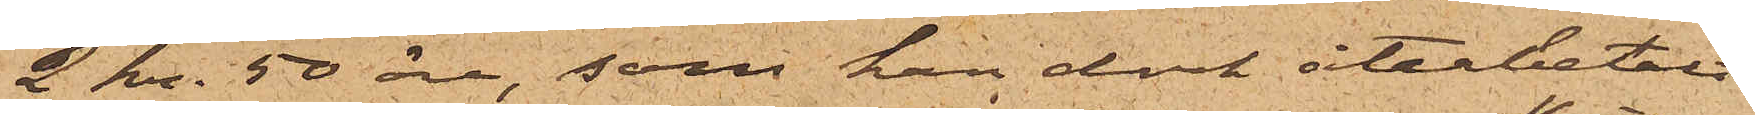2 kr. 50 öre, som han dock återbetalt
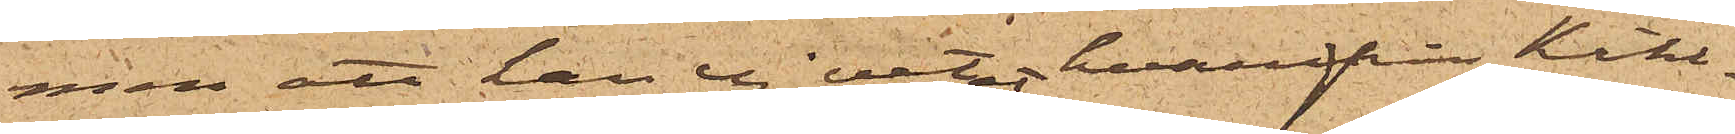men att han ej vetat hvarifrån Kihl¬
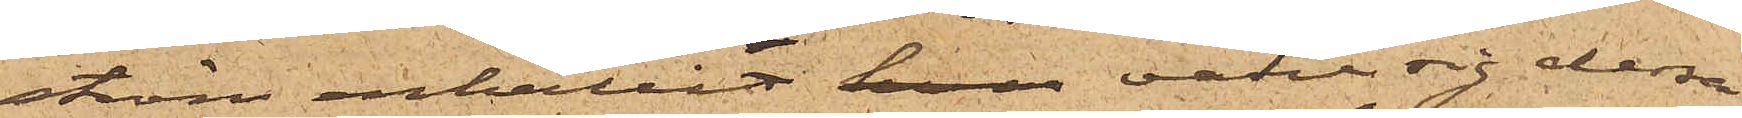ström erhållit han vare sig dessa
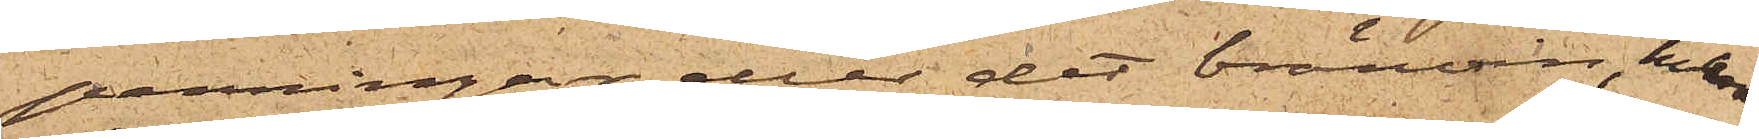penningar eller det bränvin, hvarå
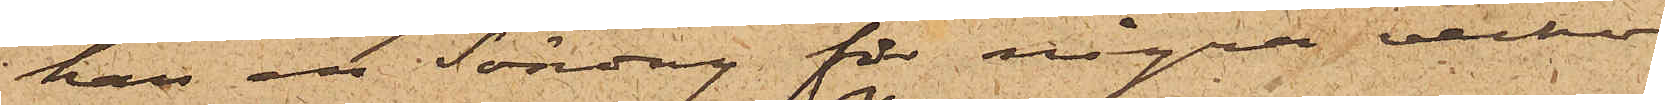han en Söndag för några veckor
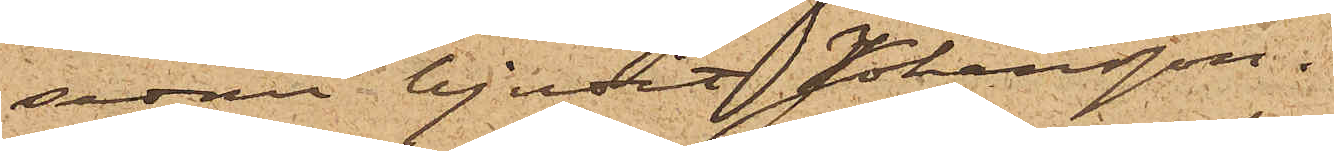sedan bjudit Johansson.
